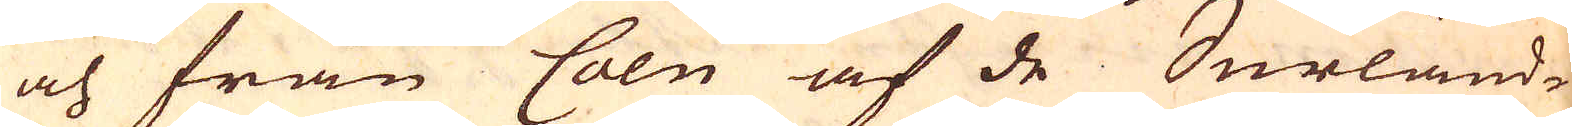och från Cöln af de Surländ-
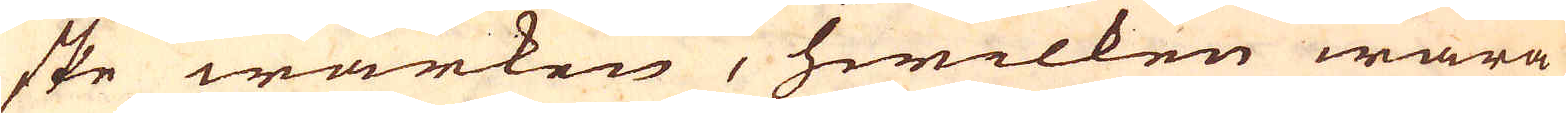ske wärken, hwilken wara
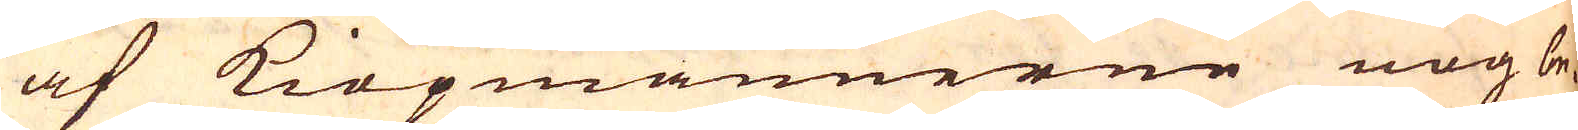af Kiöpmännerne nog be-
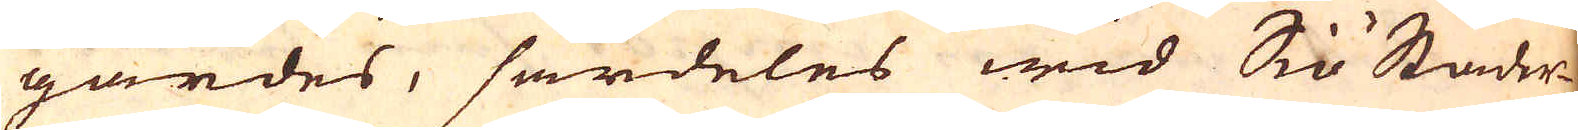gärdes, särdeles wid Siö Städer-
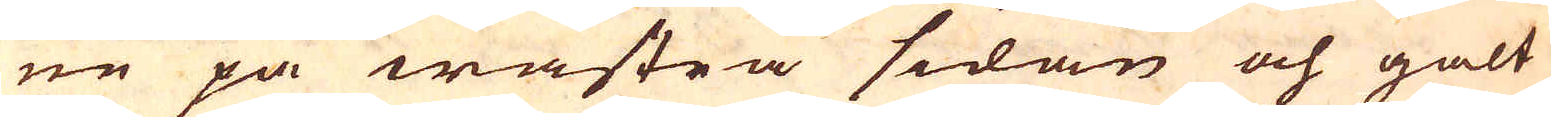ne på wästra sidan och galt
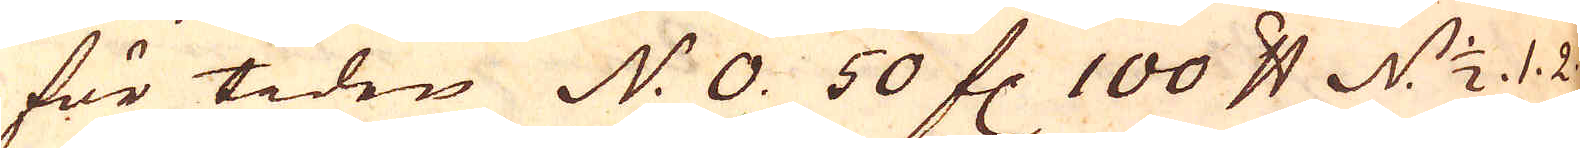för tiden N: 0. 50 fl. 100 skålpund N. 1/2. 1. 2.
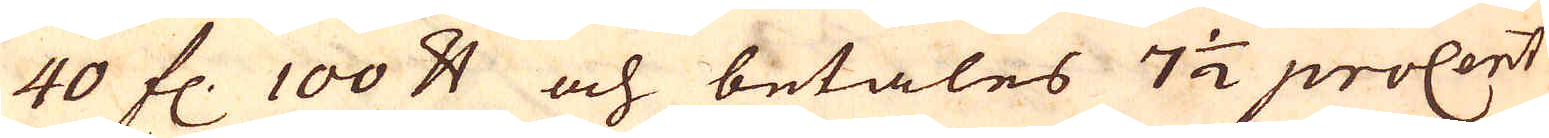40 fl. 100 skålpund och betales 7 1/2 procent
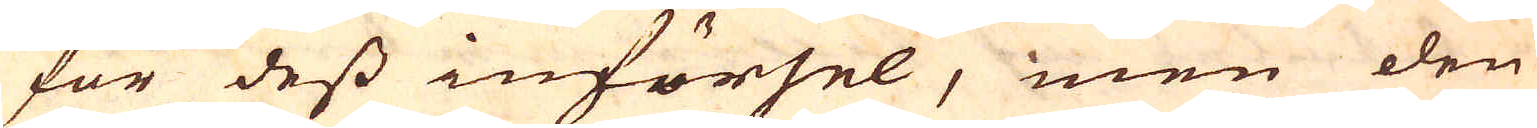för dess införsel, men den
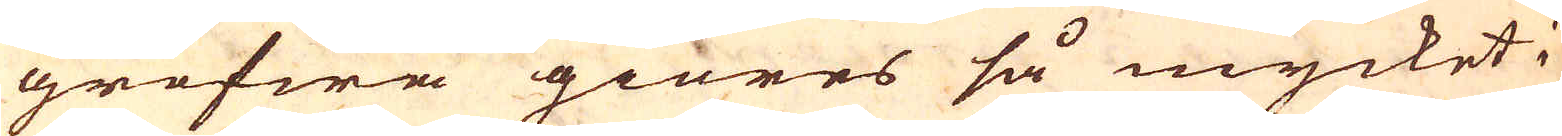grofwa giöres så mycket i
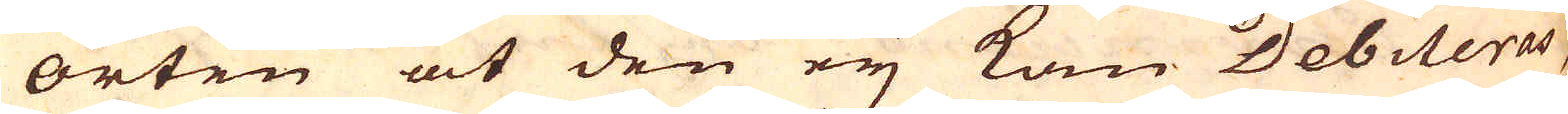orten at den ey kan Debiteras,
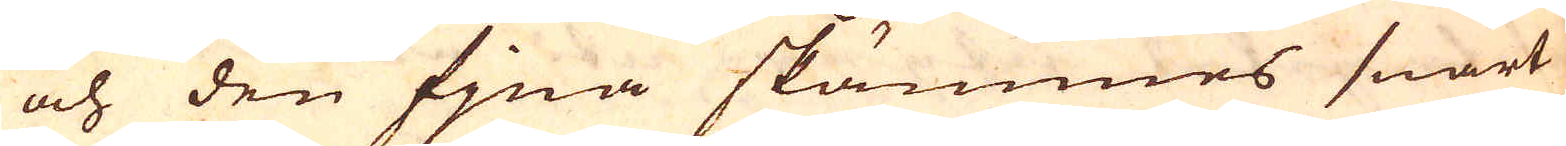och den fjna skämmes snart
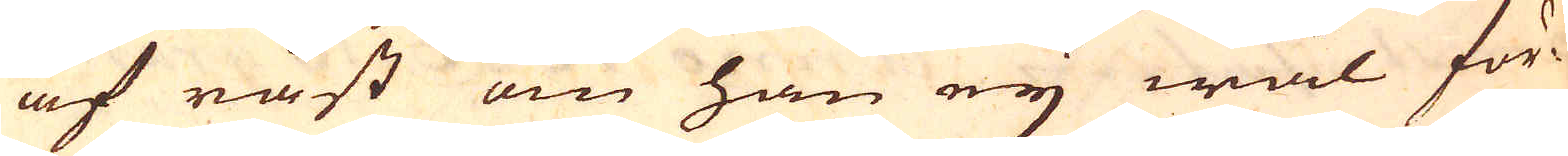af råst om han ey wäl för-
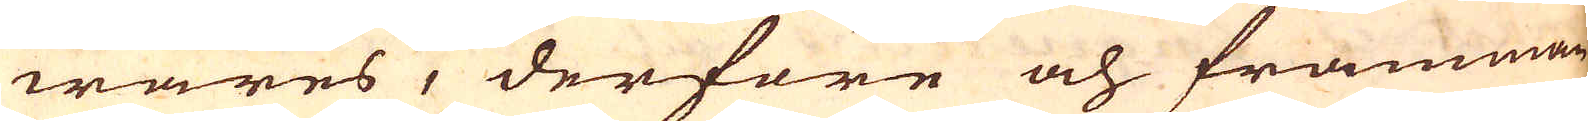wares, derföre och främman-
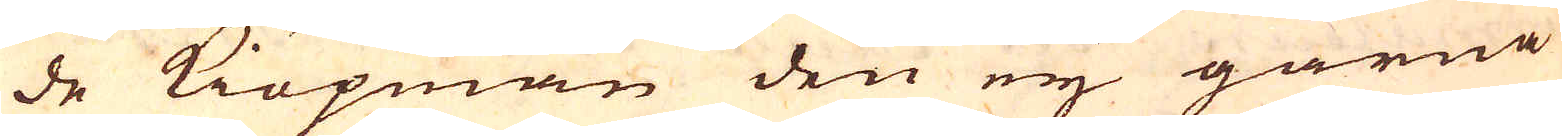de Kiöpmän den ey gärna
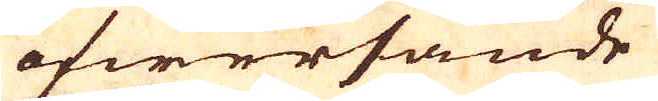öfwersände
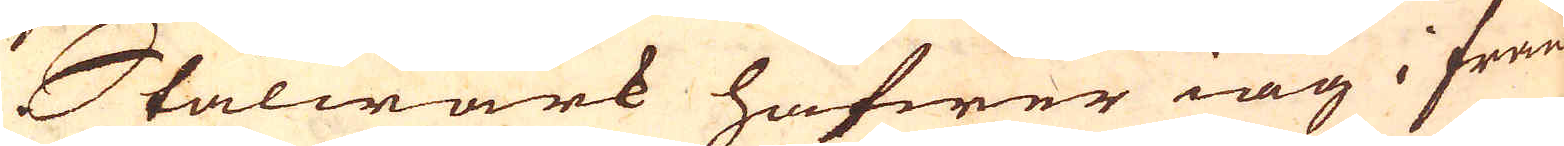Stålwärk hafwer iag i Frank-
